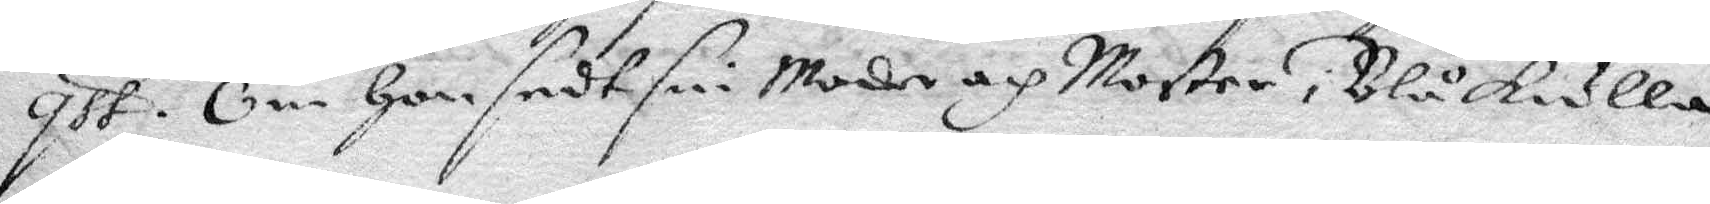qst. Om Hon sedt sin Moder och Moster i Blåkulla
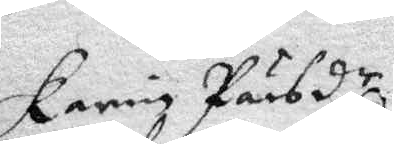Karin Pärsdr
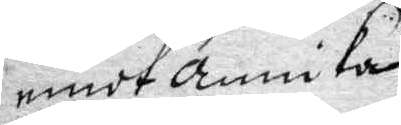emot Annika
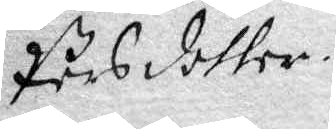Pärsdotter.
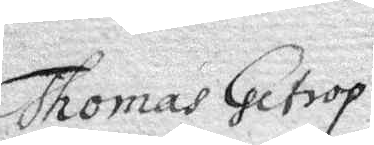Thomas Getrop
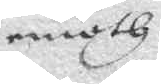emoth
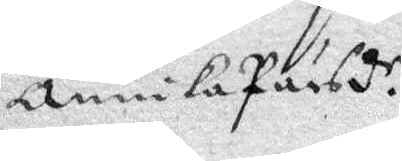Annika Pärsdr.
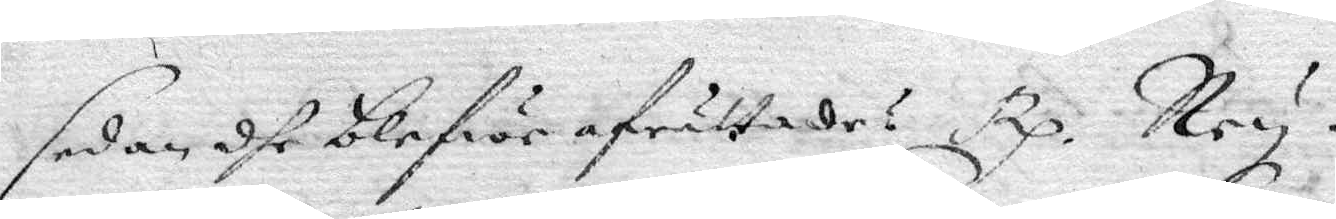sedan dhe blefwe afrättade? Rp. Ney!
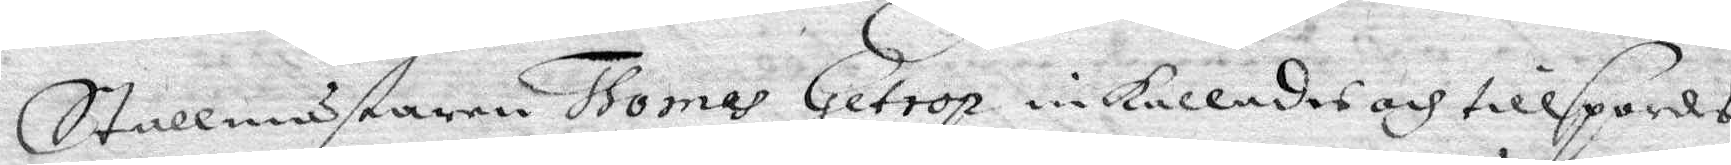Stallmästaren Thomas Getrop inkallades och tillspordes,
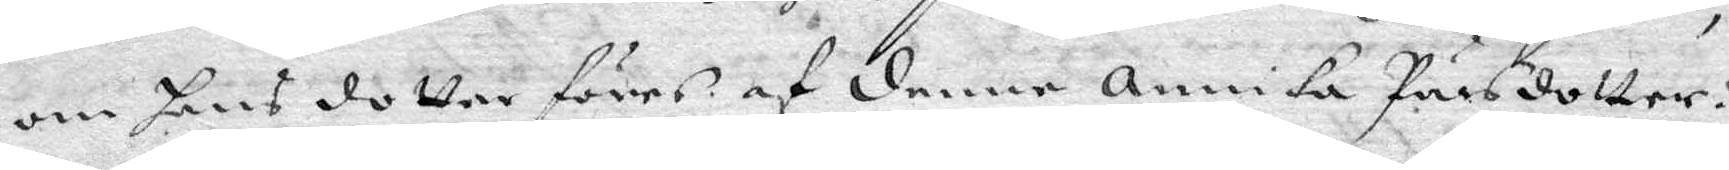om hans dotter föres af denne Annika Pärsdotter?
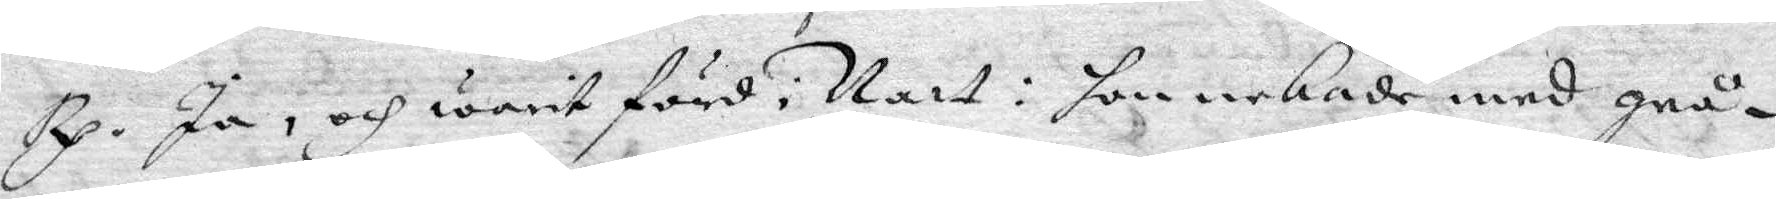Rp. Ja, och warit förd i Natt: hon nekade med grå¬
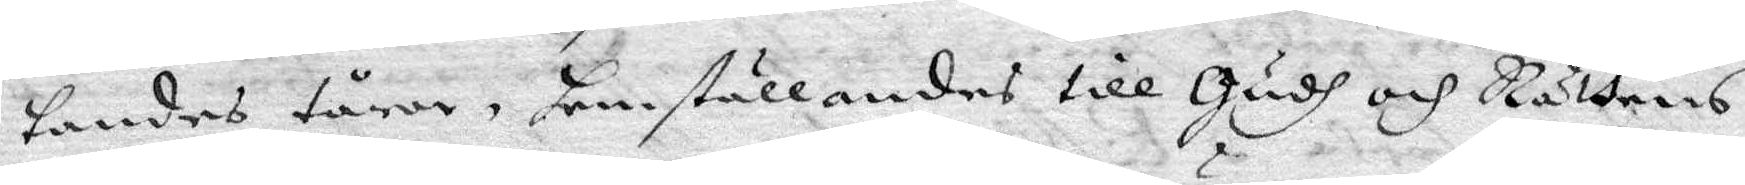tandes tårar, hemställandes till Gudh och Rättens
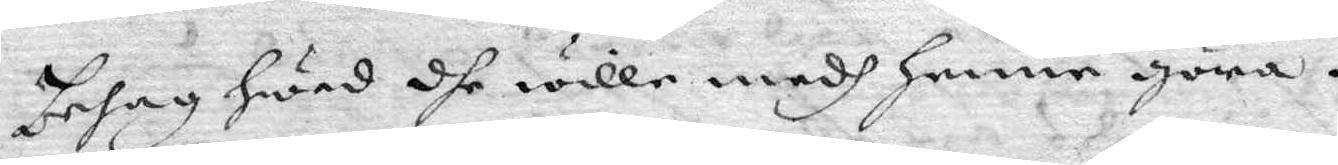behag Hwad dhe wille medh Henne göra.
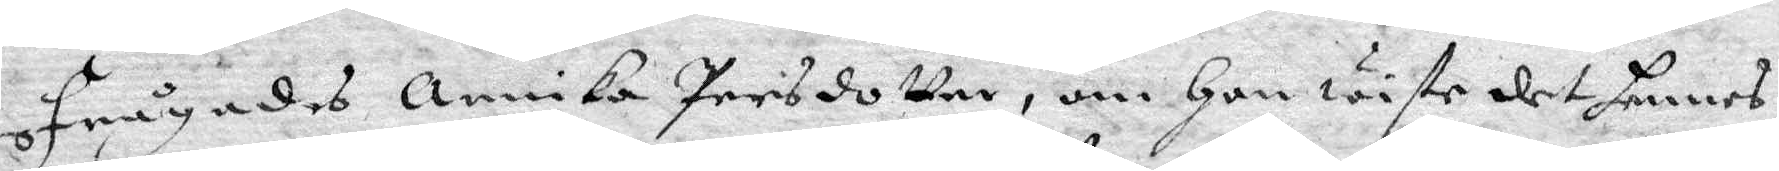frågades Annika Persdotter, om Hon wiste det hennes
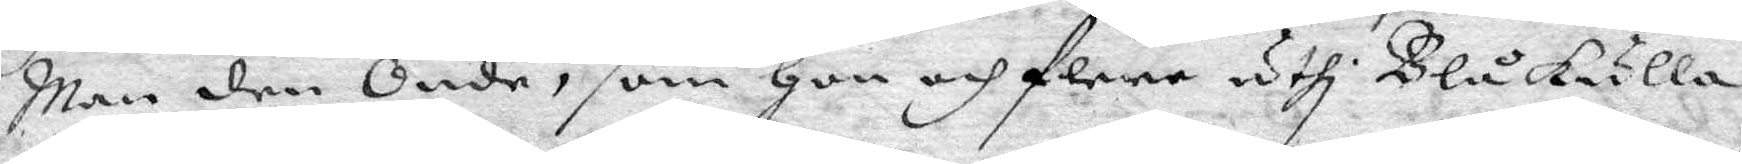Man den Onde, som Hon och flere uthi Blåkulla
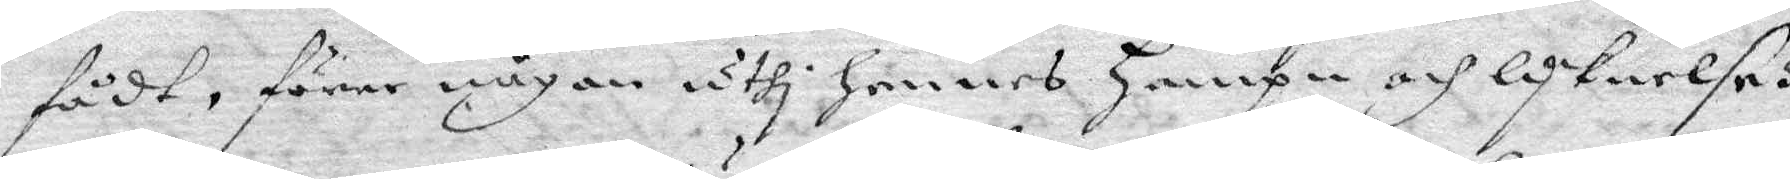fådt, förer någon uthi hennes Hampn och lyknelse?
